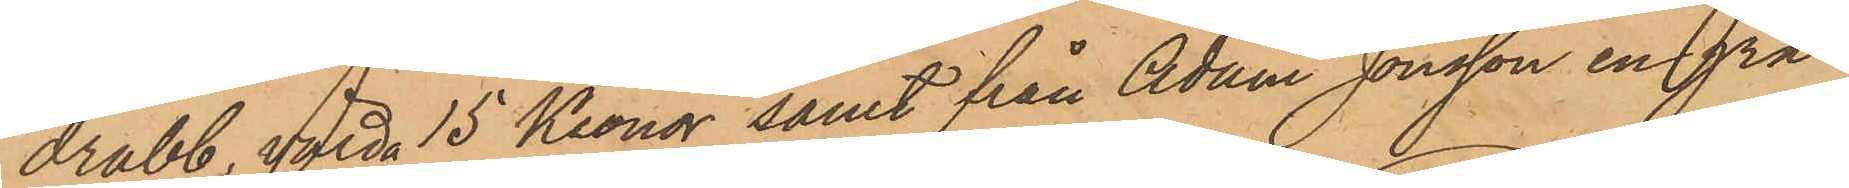drabb, med 15 Kronor samt från Adam Jonsson en grå
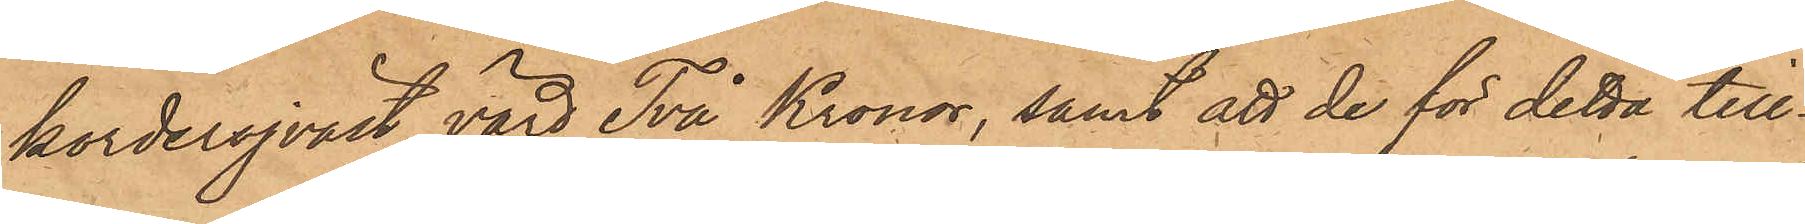korderojväst, värd Två Kronor, samt att de för detta till¬
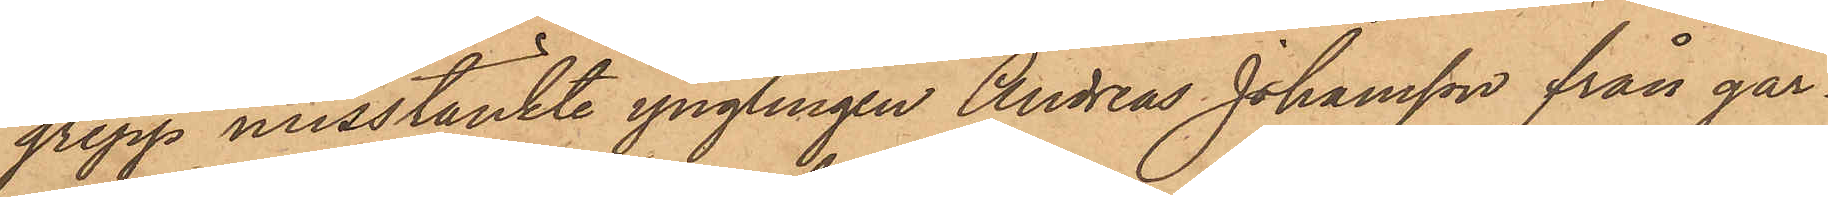grepp misstänkte ynglingen Andreas Johansson från går¬
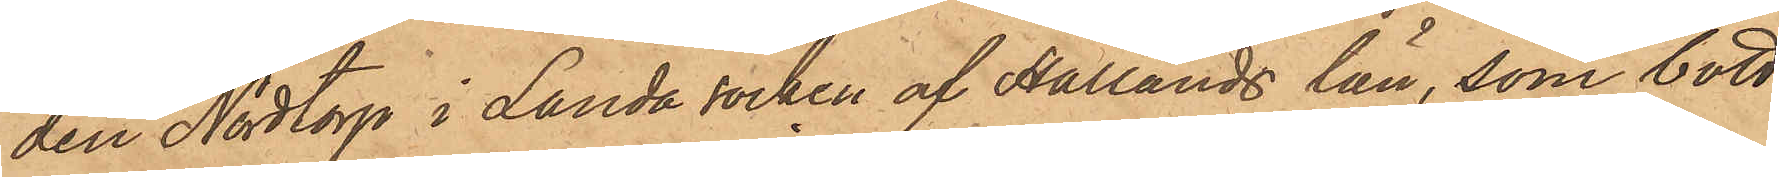den Nodtorp i Landa socken af Hallands län, som bott
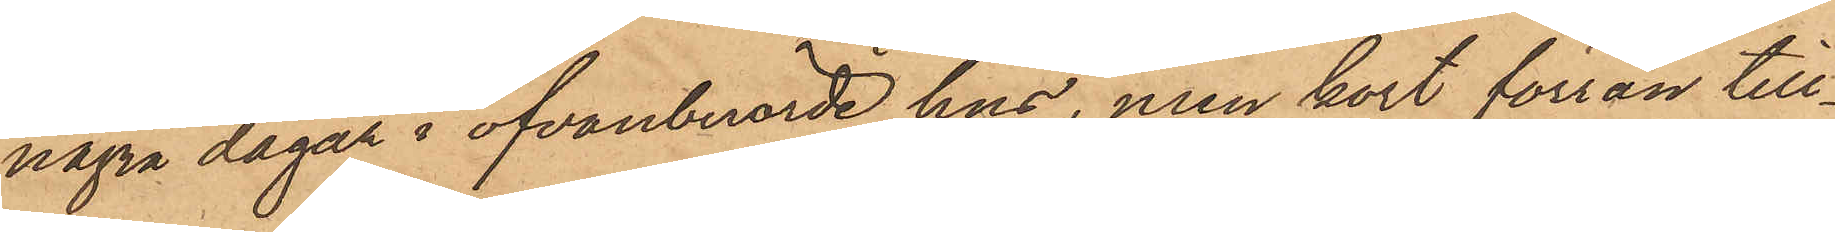några dagar i ofvanberörde hus, men kort förrän till¬
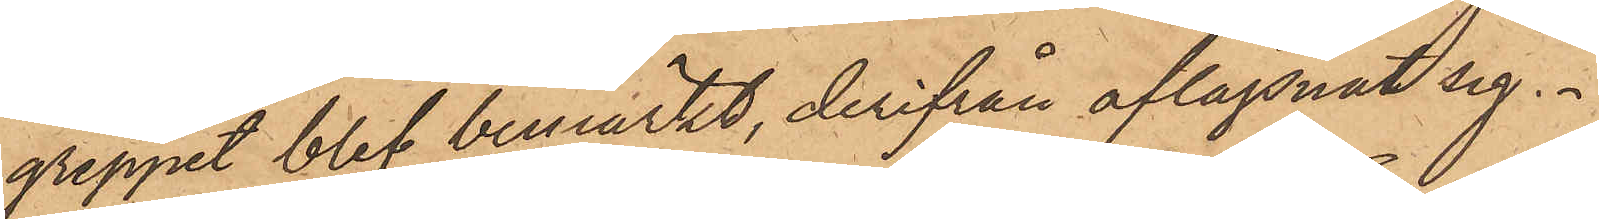greppet blef bemärkt, derifrån aflägsnat sig.
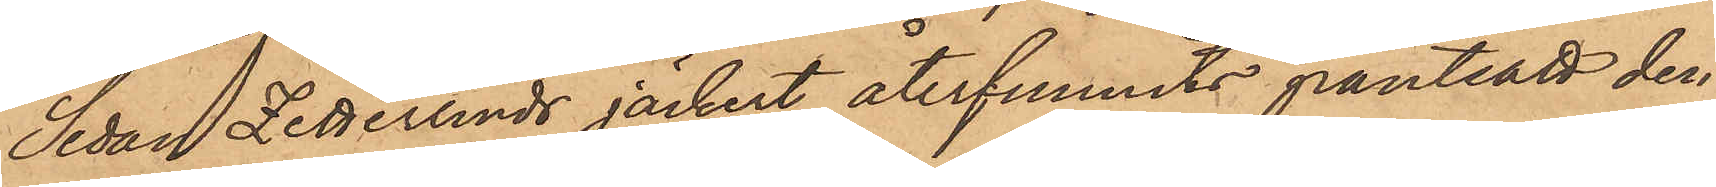Sedan Zetterlinds jäckert återfunnits pantsatt den
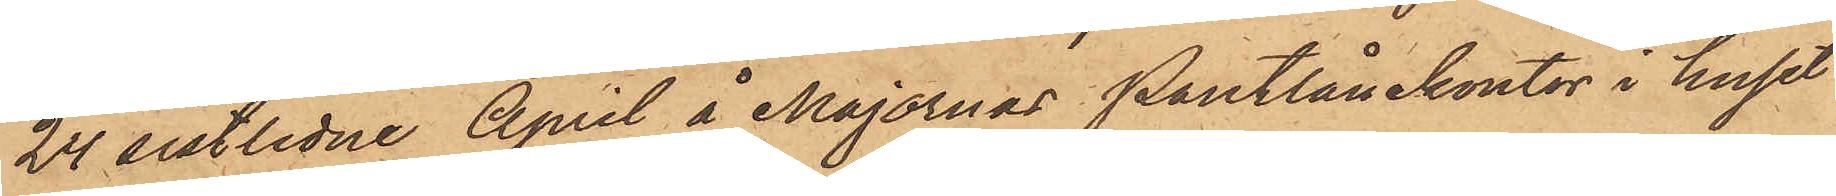24 sistlidne April å Majornas Pantlånekontor i huset
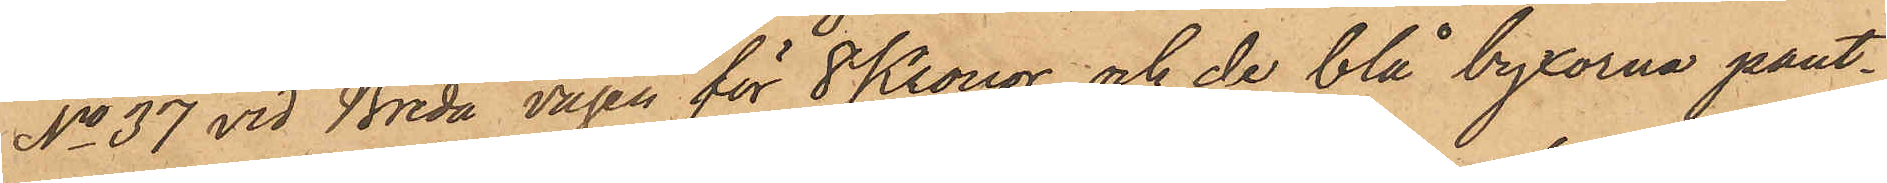No 37 vid Breda vägen för 8 Kronor och de blå byxorna pant¬
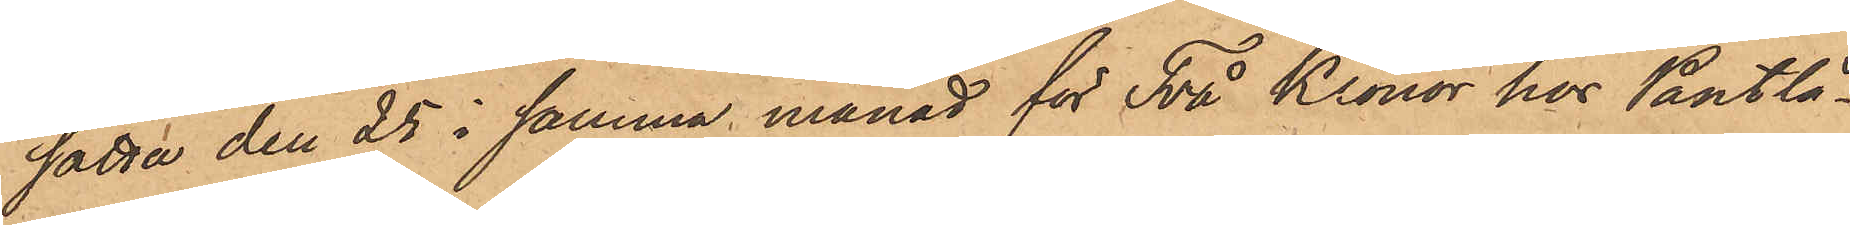satta den 25 i samma månad för Två Kronor hos Pantlå¬
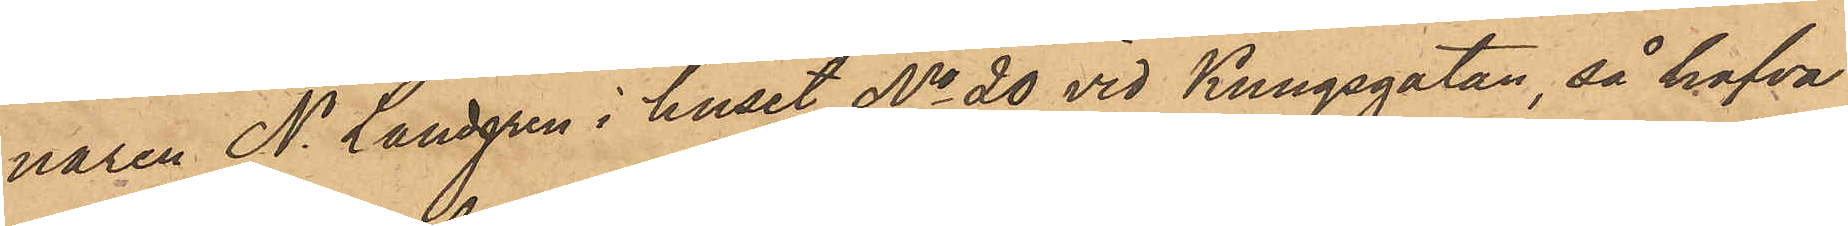naren N. Landgren i huset No 20 vid Kungsgatan, så hafva
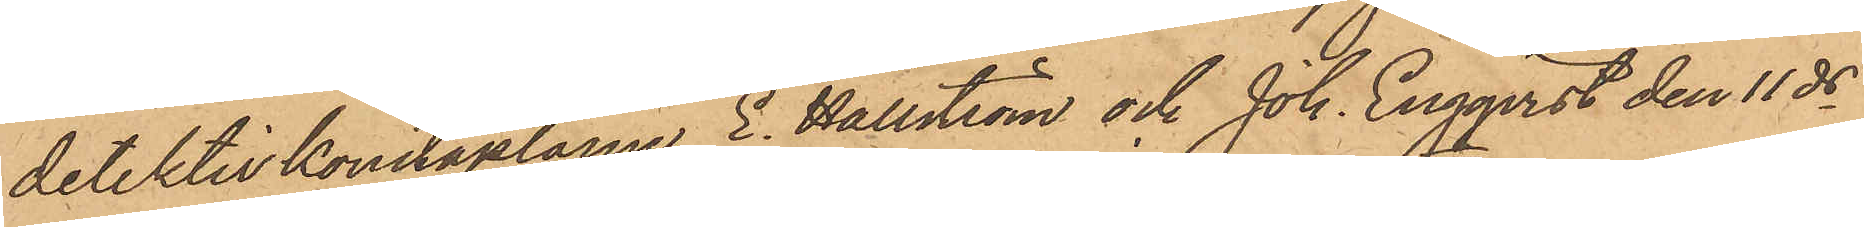detektivkonstaplarne E. Hällström och Joh. Engqvist den 11 ds
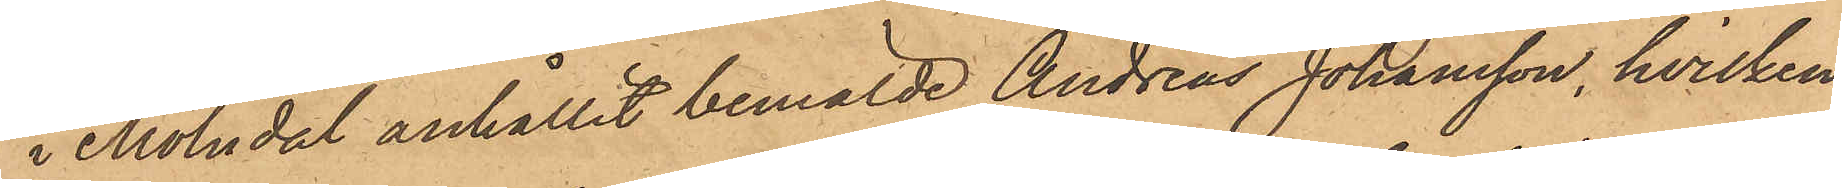i Mölndal anhållit bemälde Andreas Johansson, hvilken
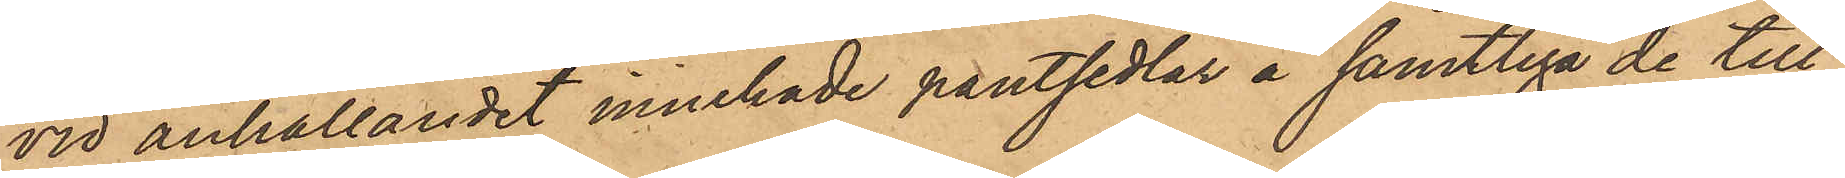vid anhållandet innehade pantsedlar å samtliga de till¬
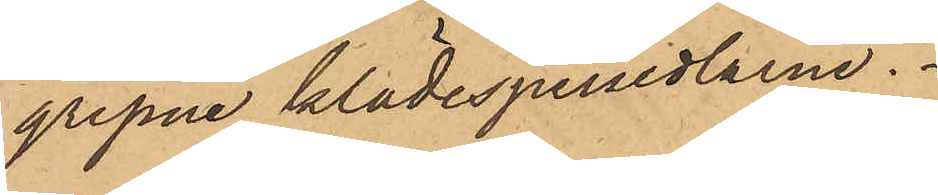gripne klädespersedlarne.
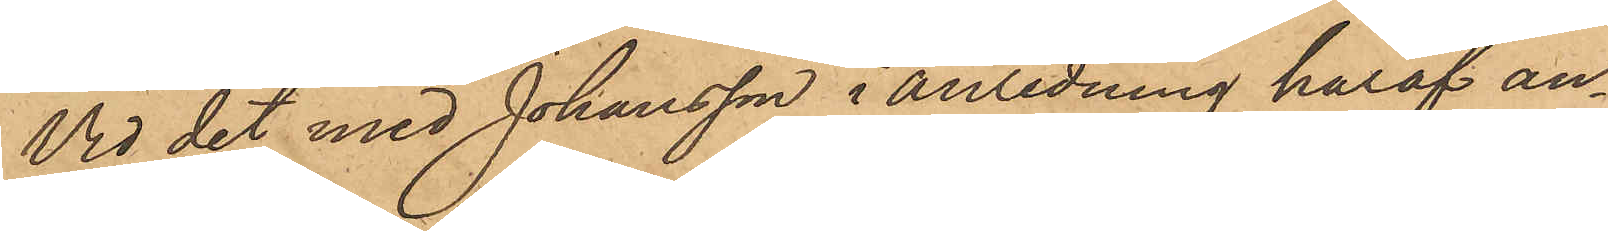Vid det med Johansson i anledning häraf an¬
